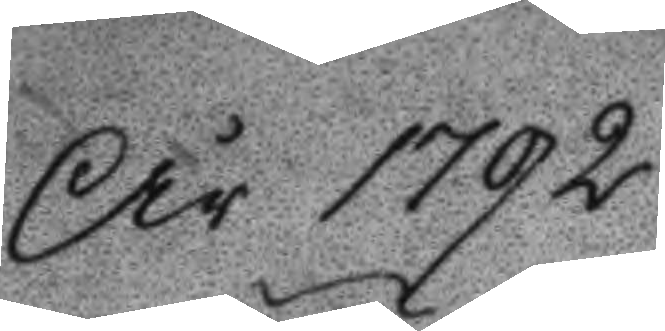År 1792
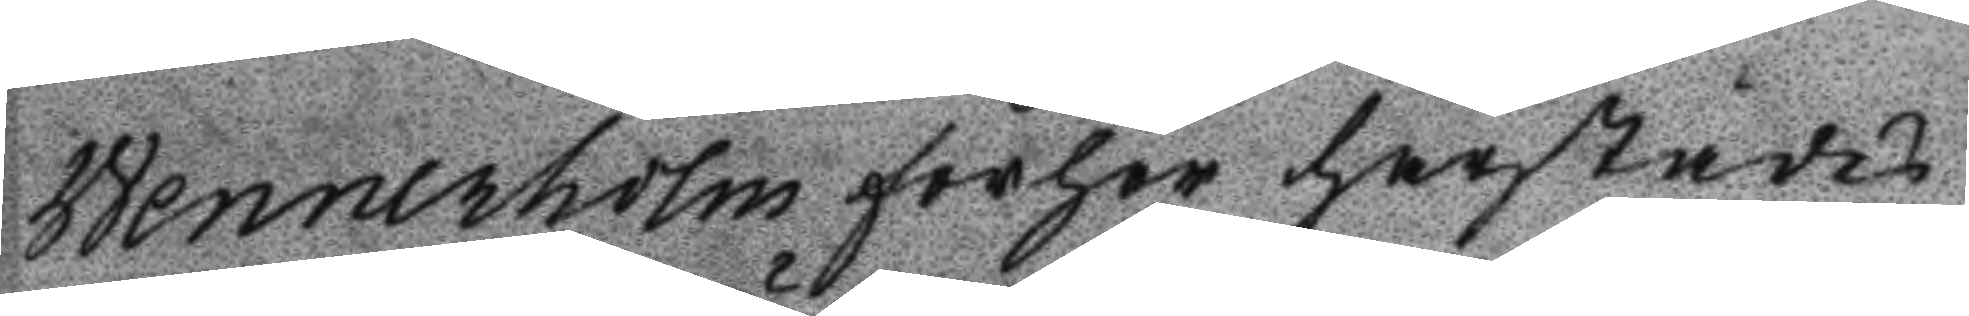Wennerholm förhör härstädes
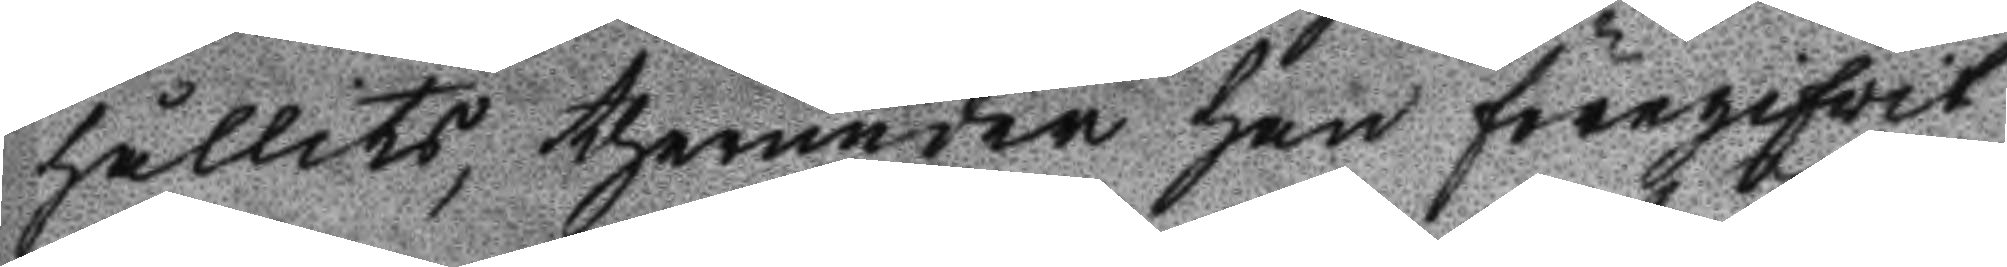hållits, therunder han föregifvit
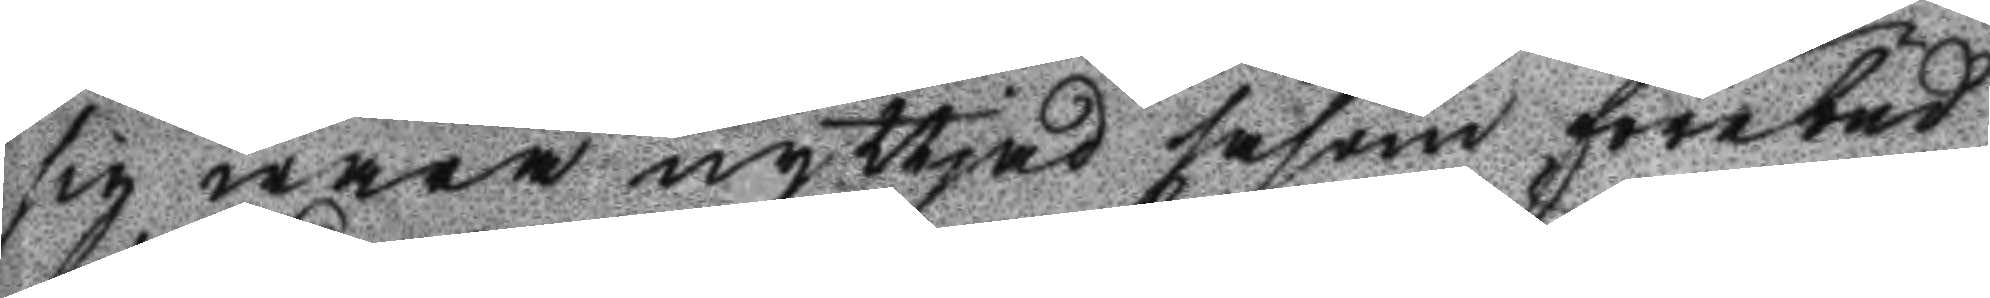sig wara nyttjad såsom förebud
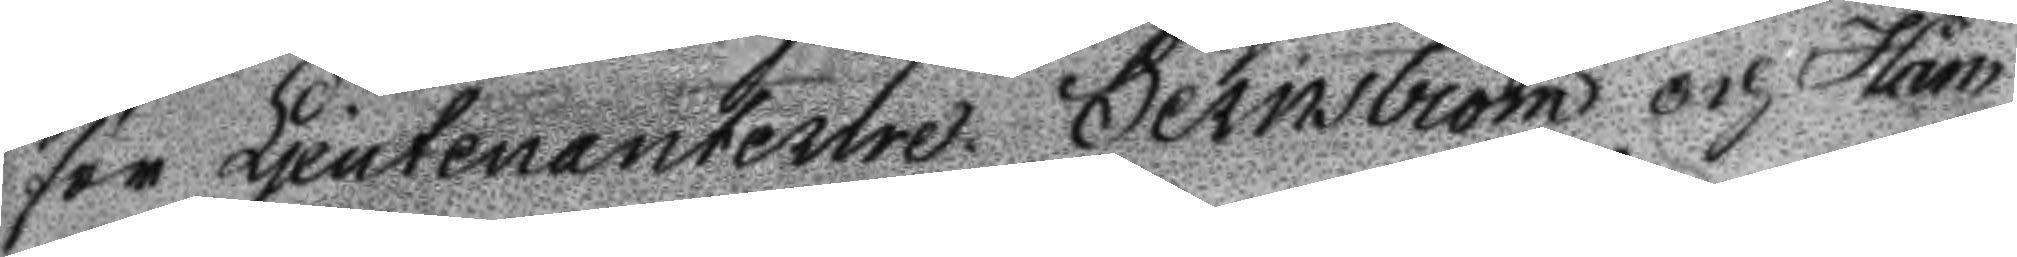för Ljeutenanterne Sernström och Ham¬
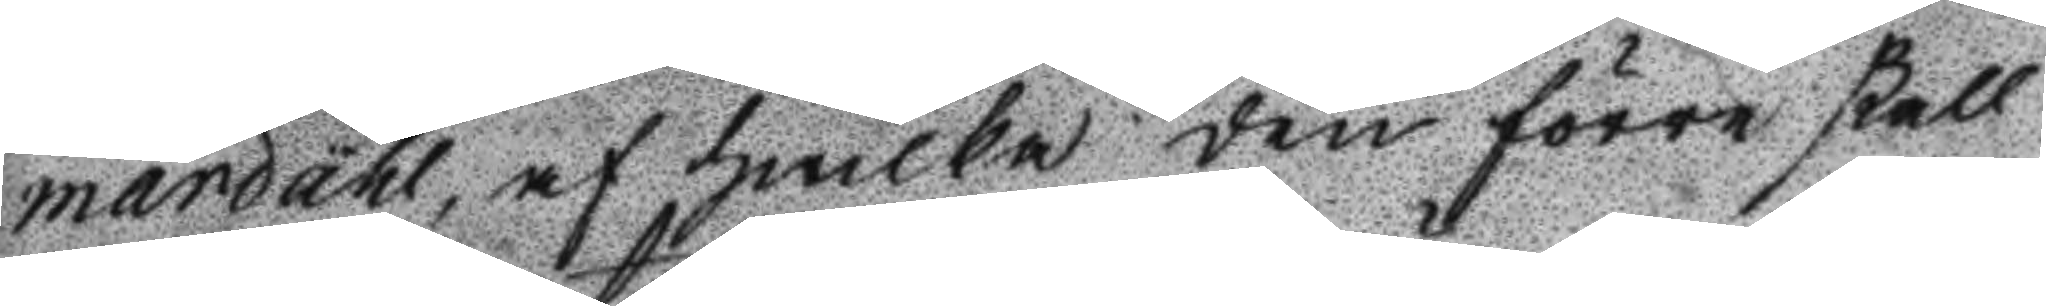mardahl, af hwilka den förre skall
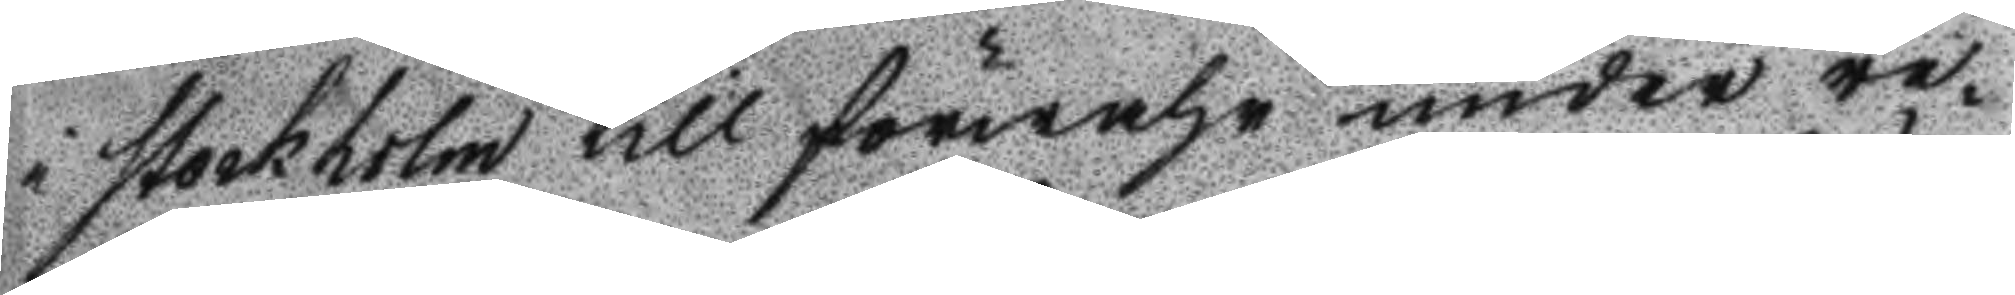i Stockholm till förwahr under re¬
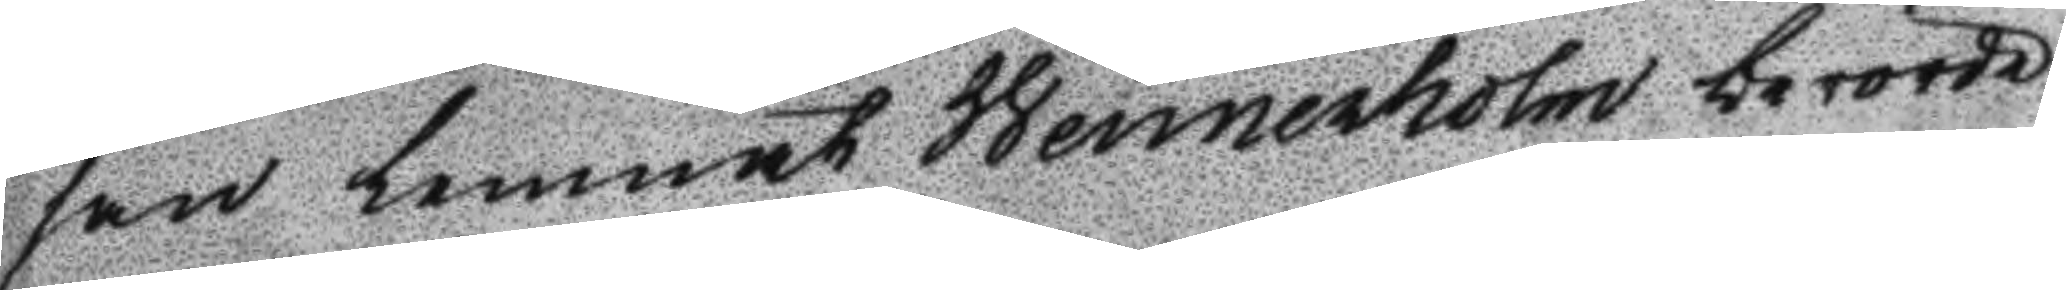san lemnat Wennerholm berörde
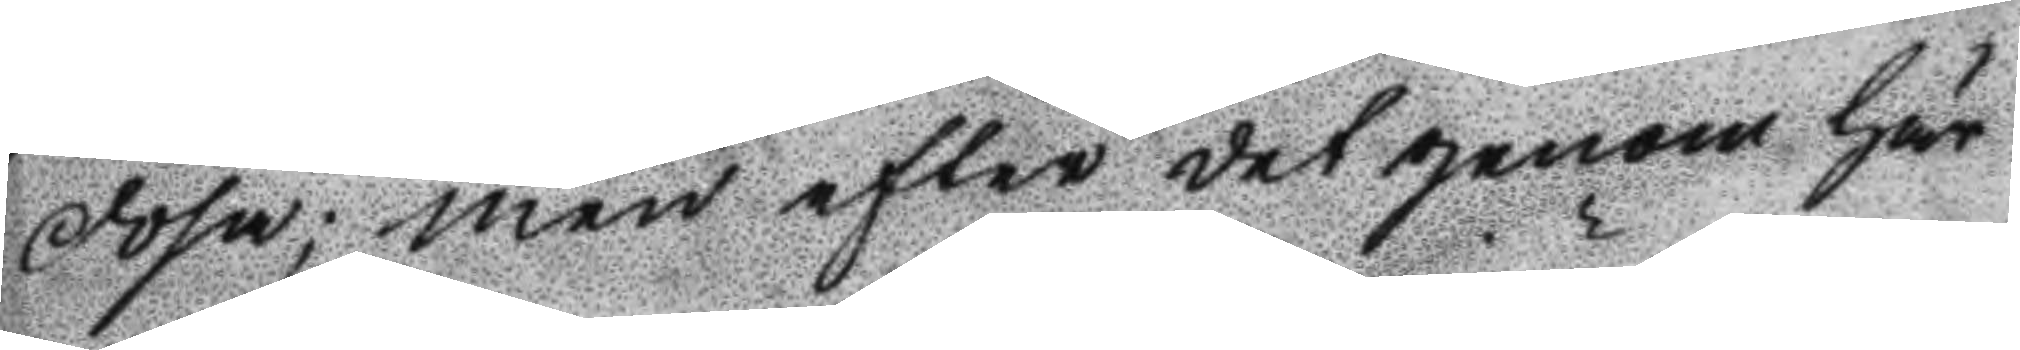dosa; men efter det genom här
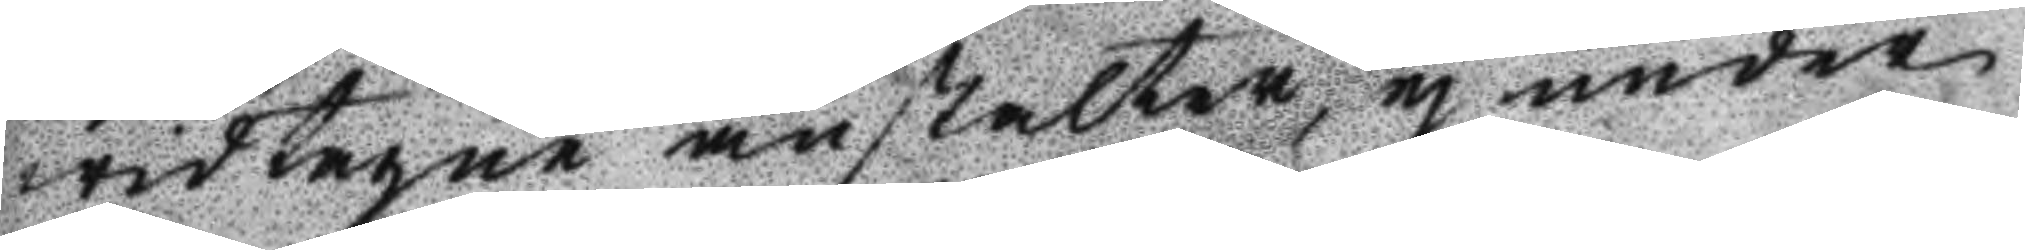widtagne anstalter, ej under
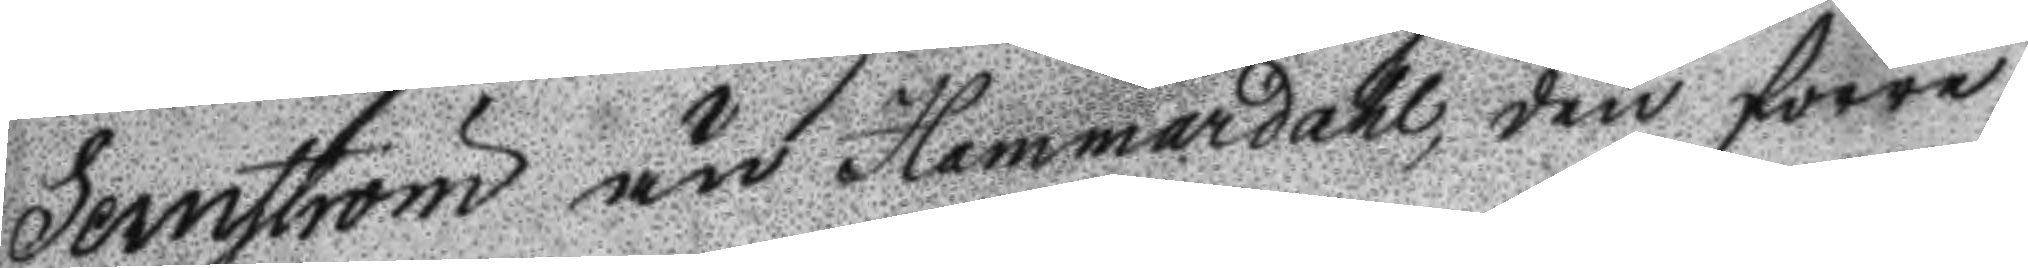Sernström och Hammardahl, den förre
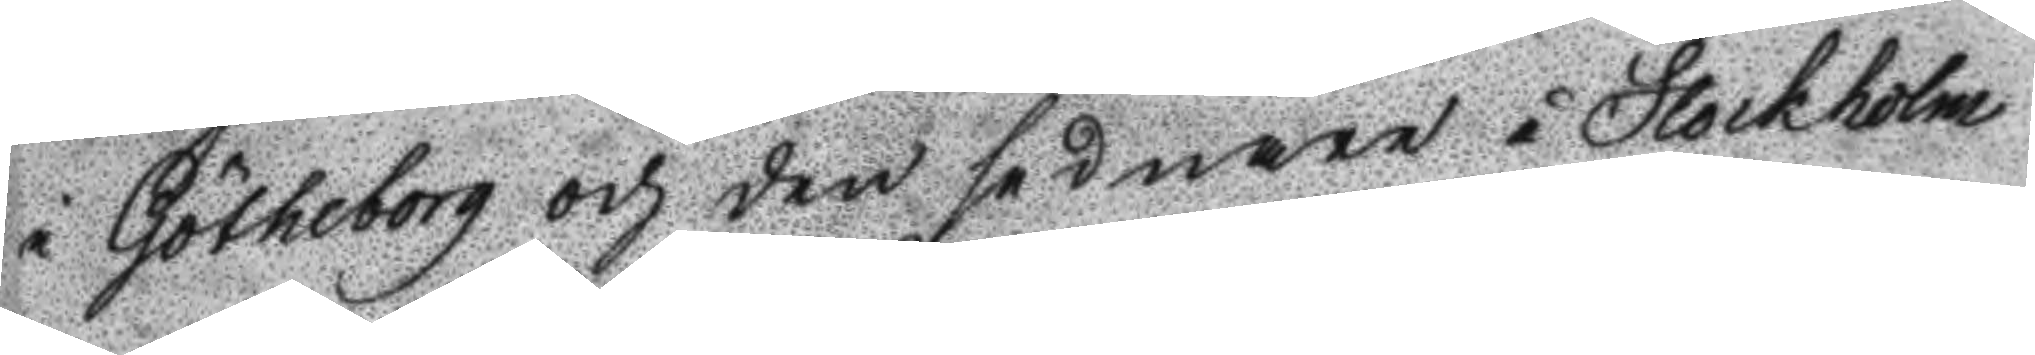i Götheborg och den sednare i Stockholm
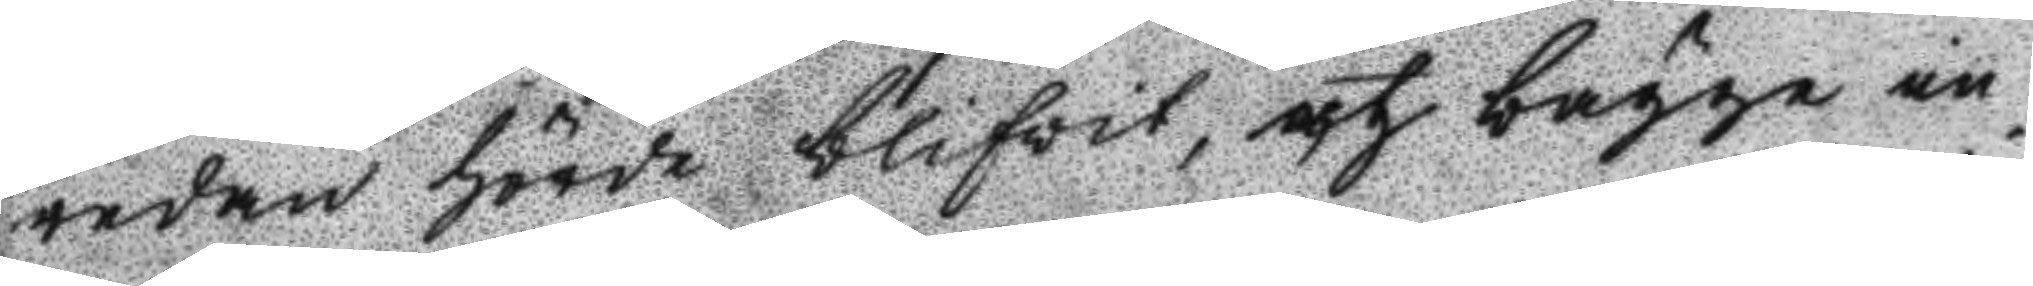redan hörde blifwit, och bägge in¬
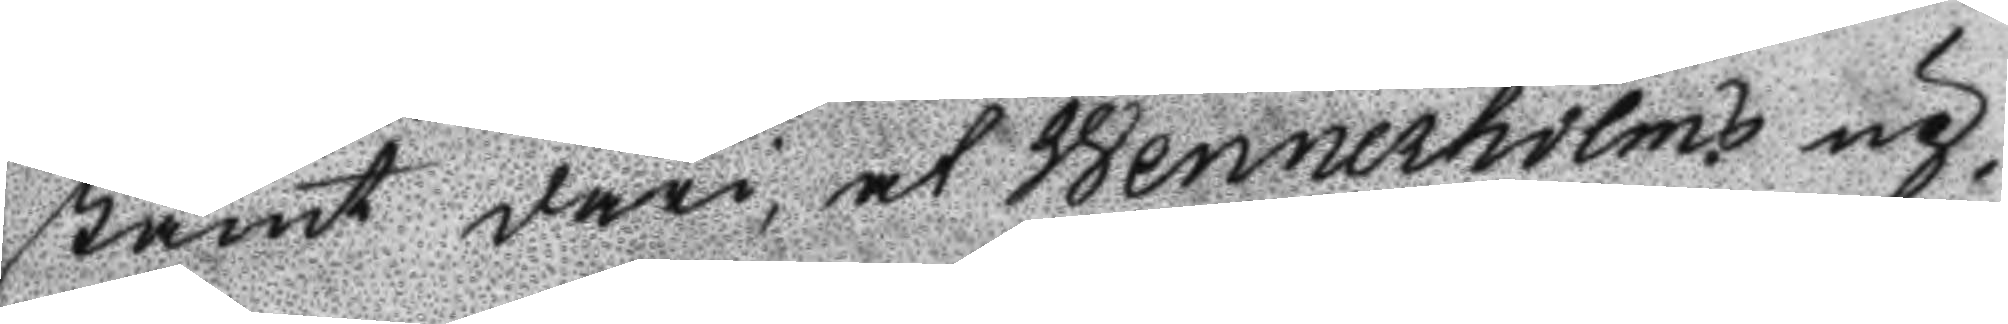stämt däri, at Wennerholms up¬
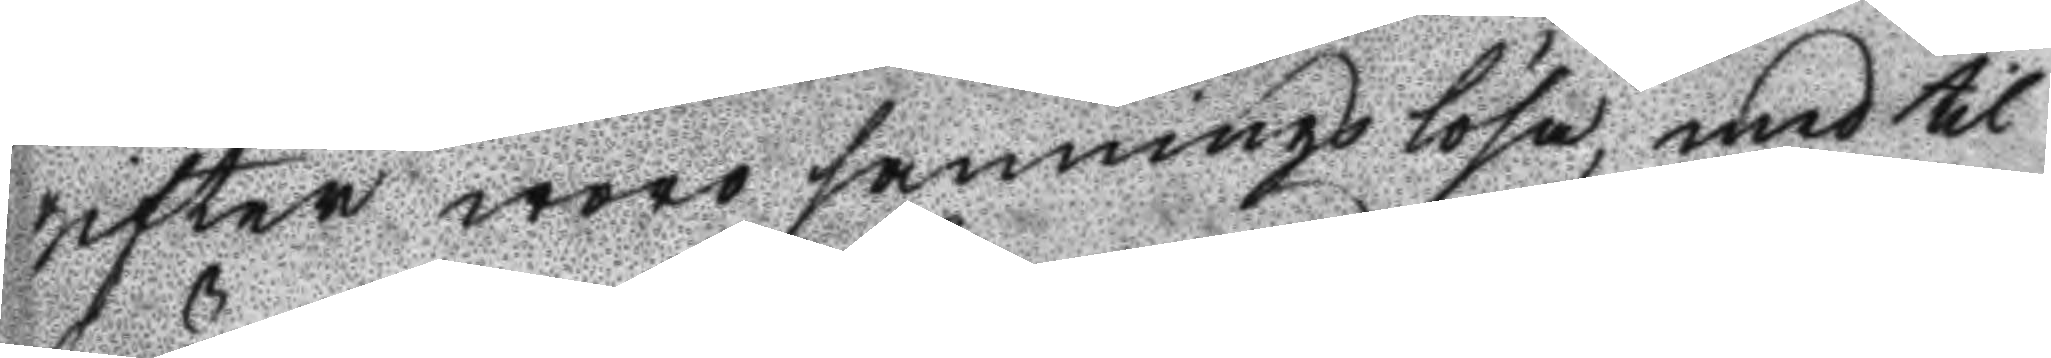gifter woro sanningslösa, med til
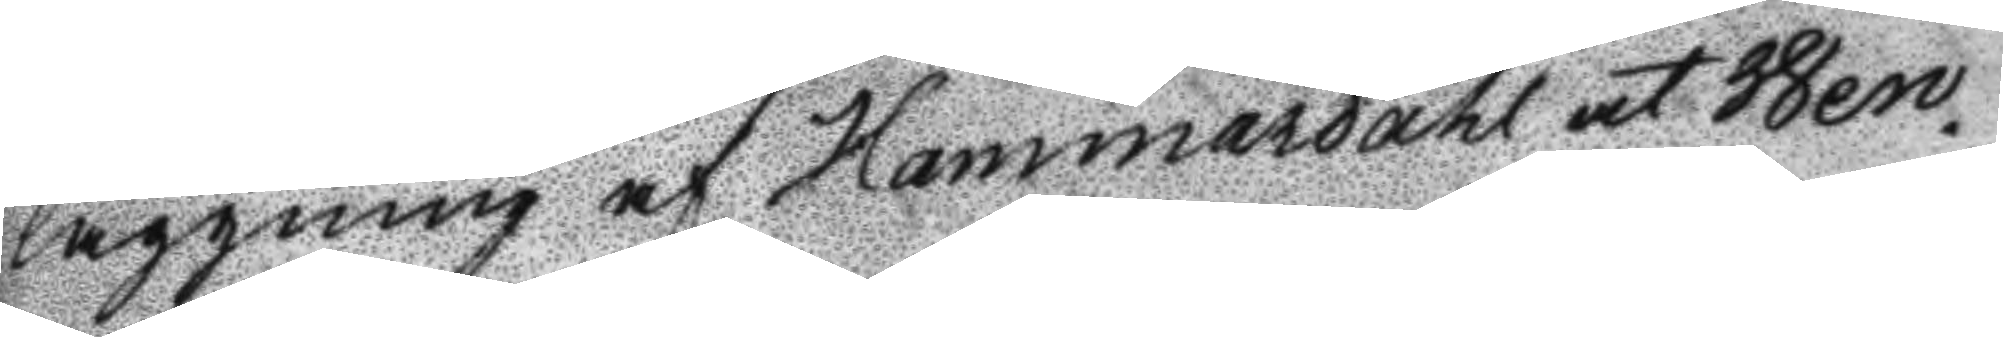läggning af Hammardahl at Wen¬
